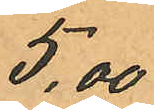5,00
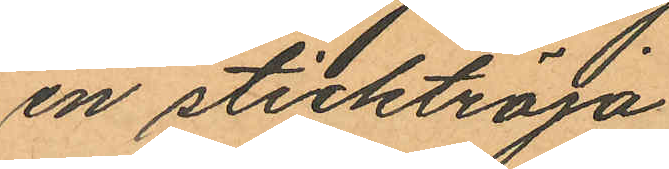en sticktröja
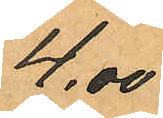4,00
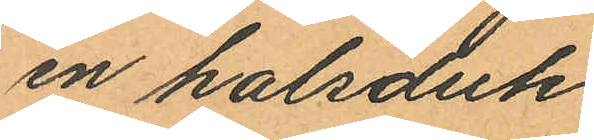en halsduk
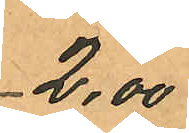2,00
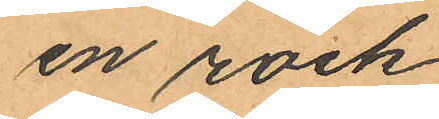en rock
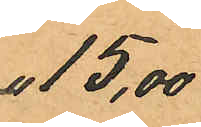 15,00
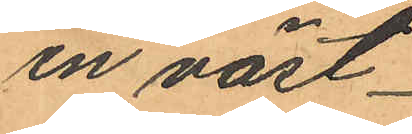en väst
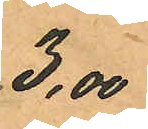3,00
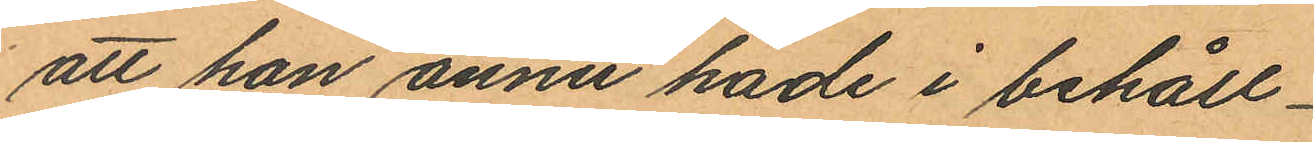att han ännu hade i behåll
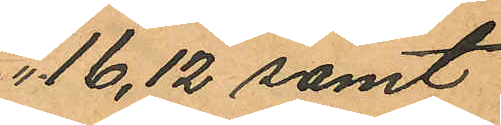16,12 samt
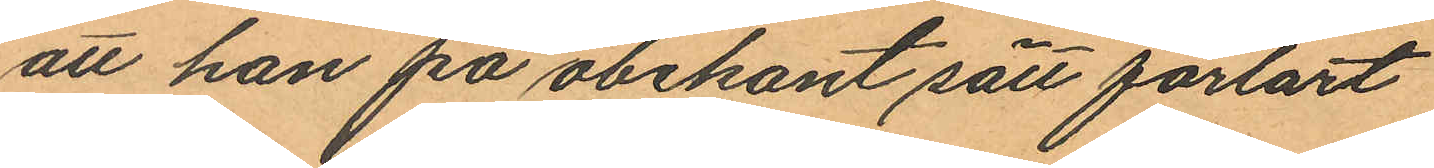att han på obekant sätt förlort
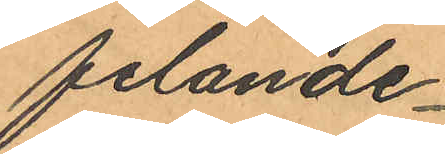felande
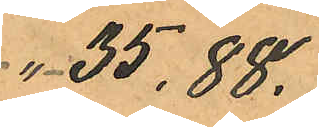35,88.
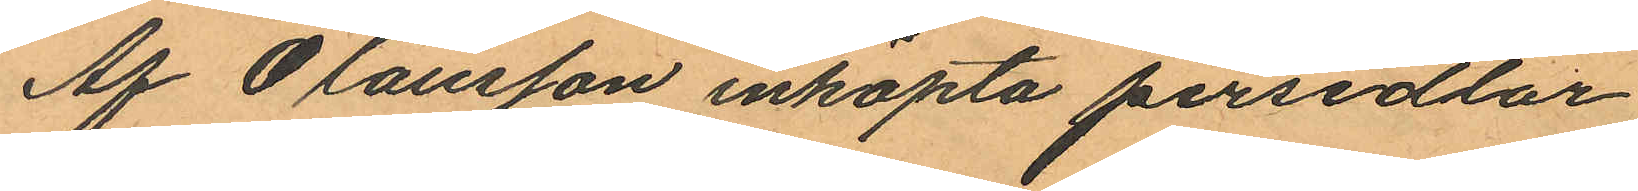Af Olausson inköpta persedlar
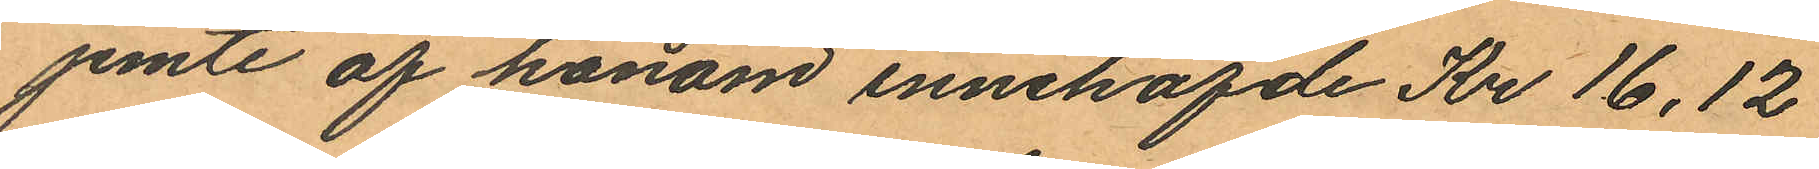jemte af honom innehafde Kr 16,12
